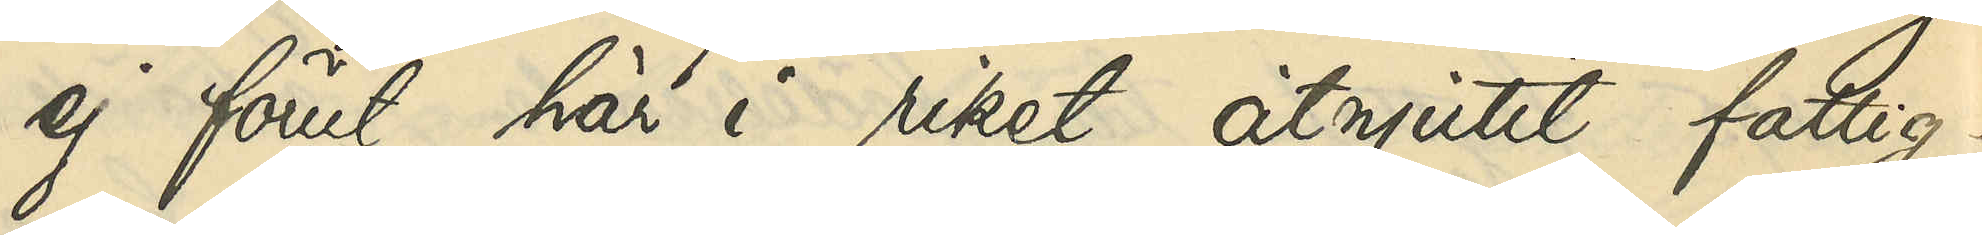ej förut här i riket åtnjutit fattig-
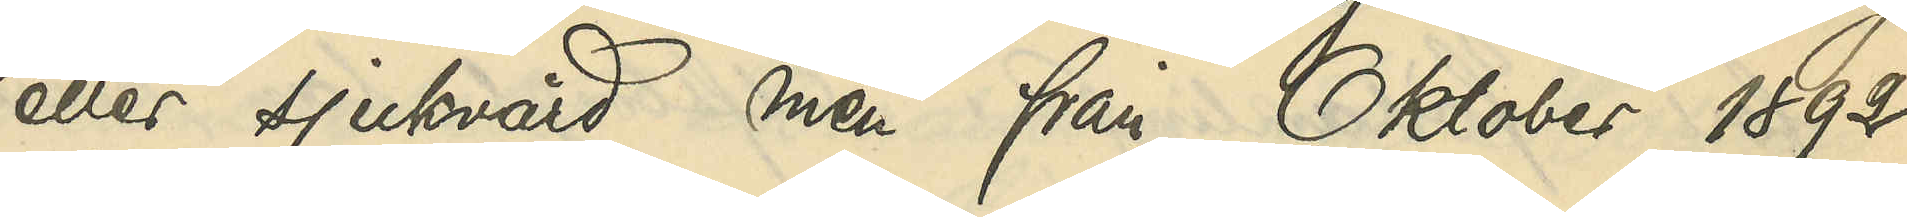eller sjukvård men från Oktober 1892
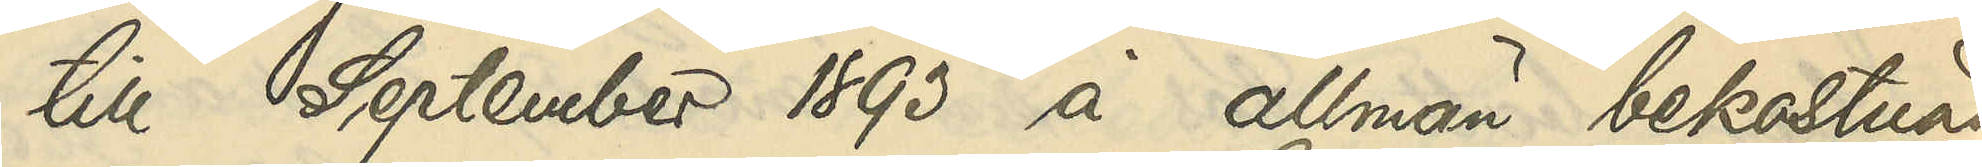till September 1893 å allmän bekostnad
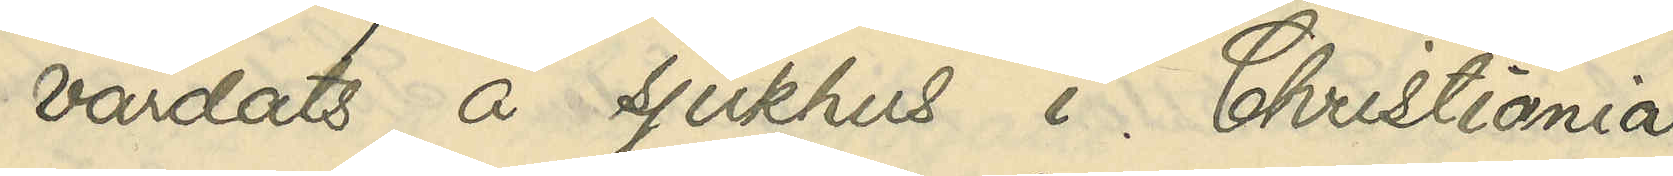vårdats å sjukhus i Christiania.
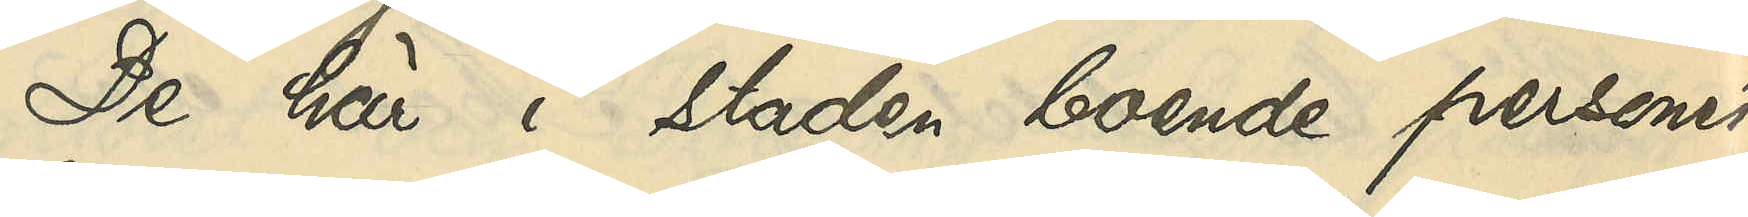De här i staden boende personer,
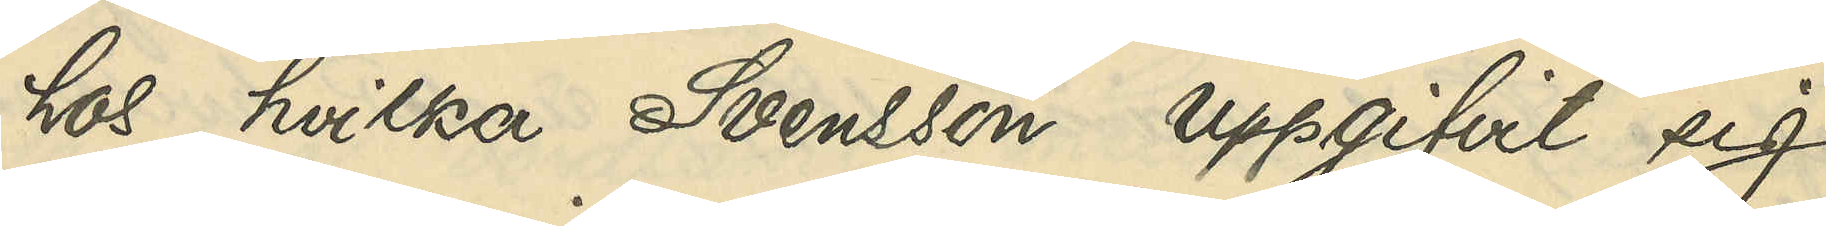hos hvilka Svensson uppgifvit sig
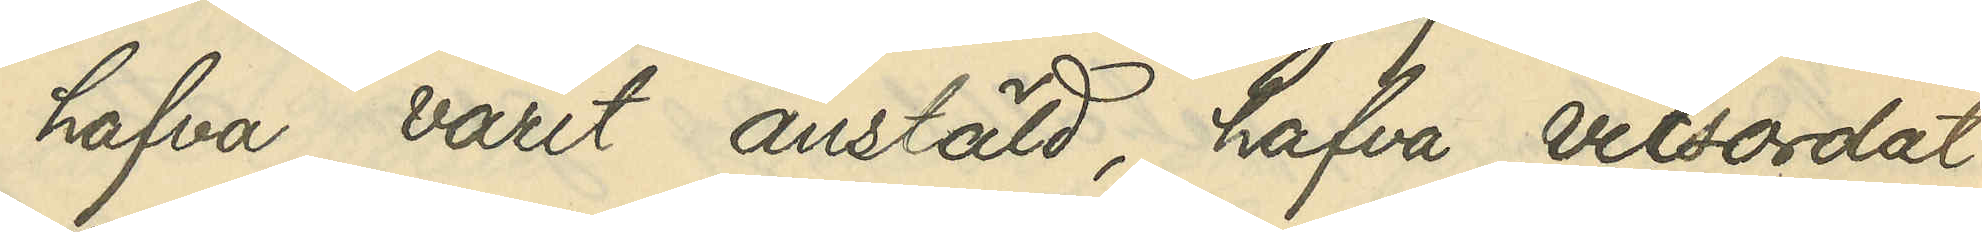hafva varit anstäld, hafva vitsordat
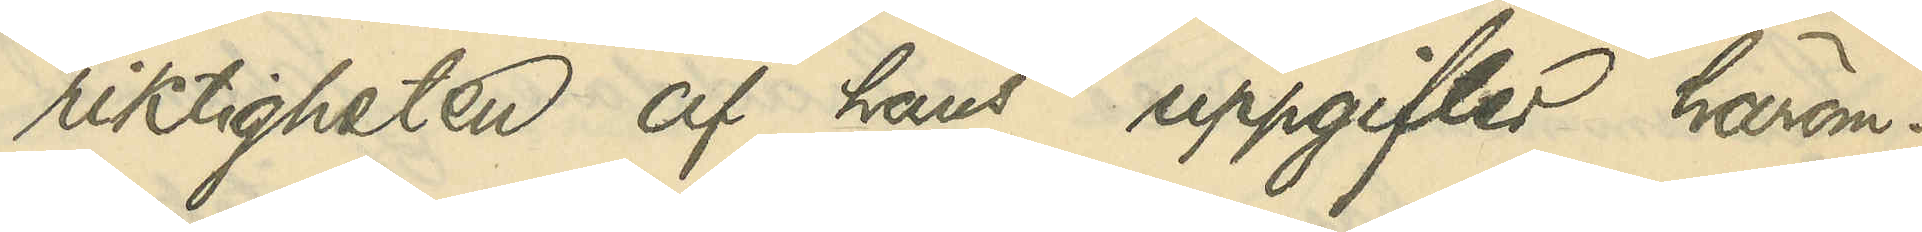riktigheten i hans uppgifter härom.
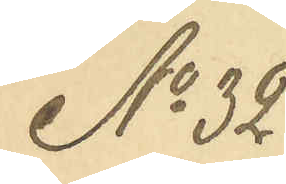No 32
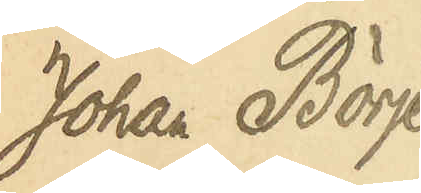Johan Börje
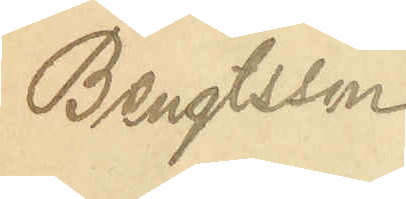Bengtsson
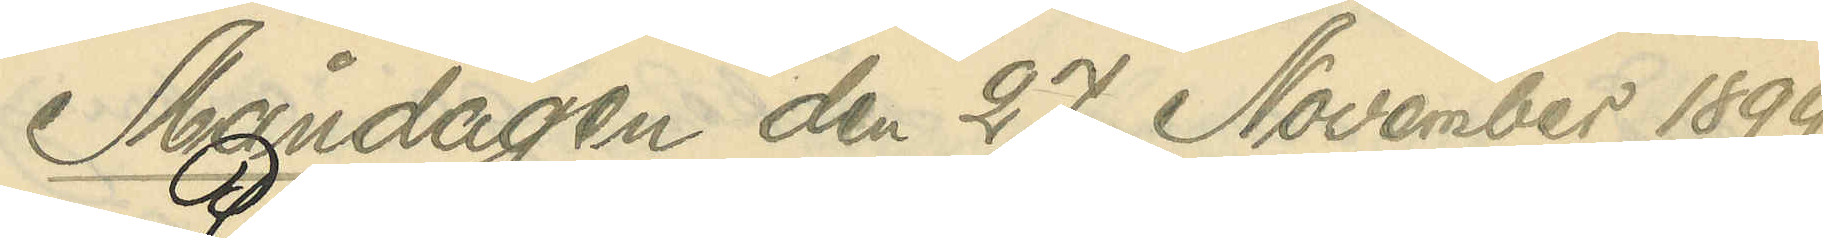Måndagen den 27 November 1899
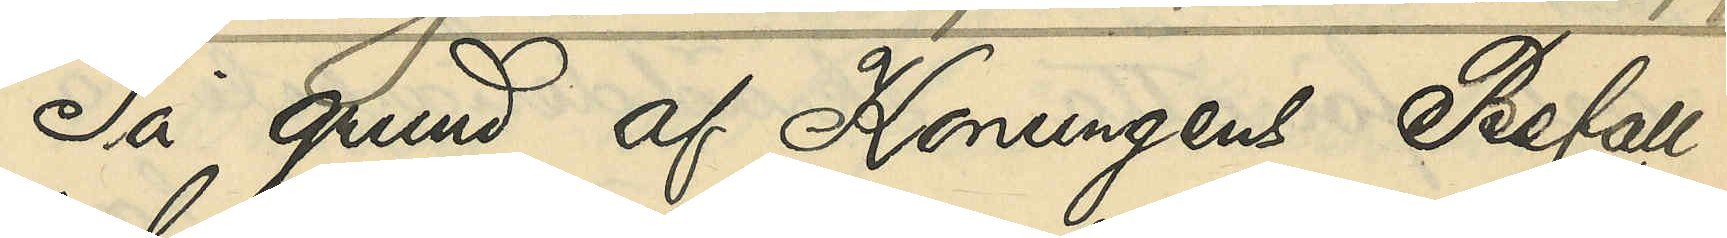På grund af Konungens Befall¬
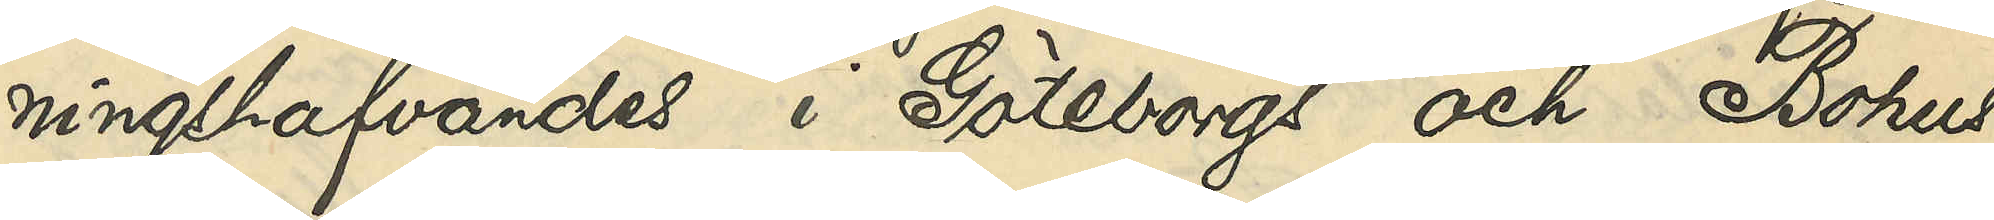ningshafvandes i Göteborgs och Bohus
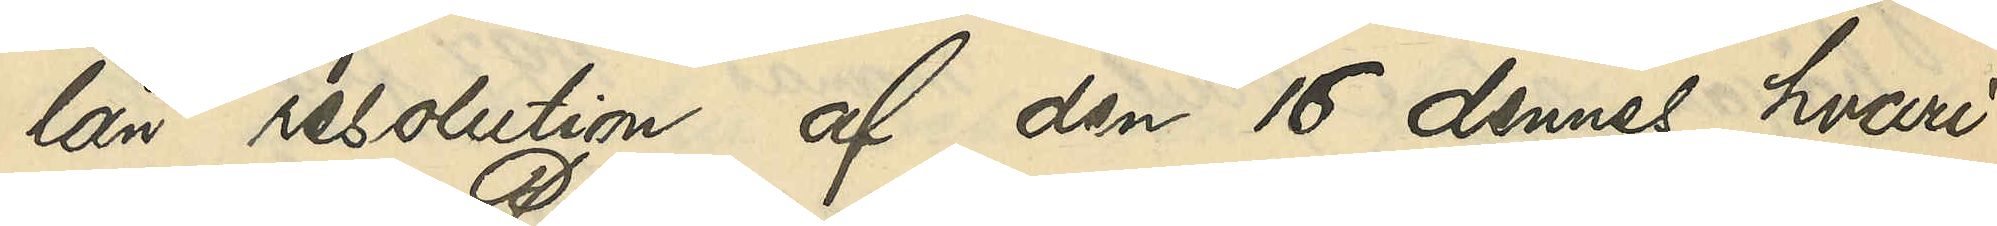län resolution af den 16 dennes, hvari¬
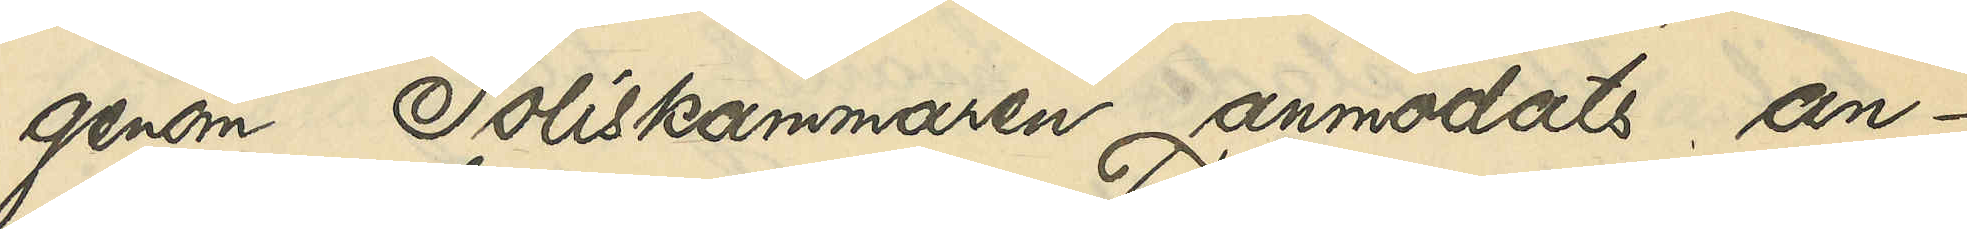genom Poliskammaren anmodats an¬
